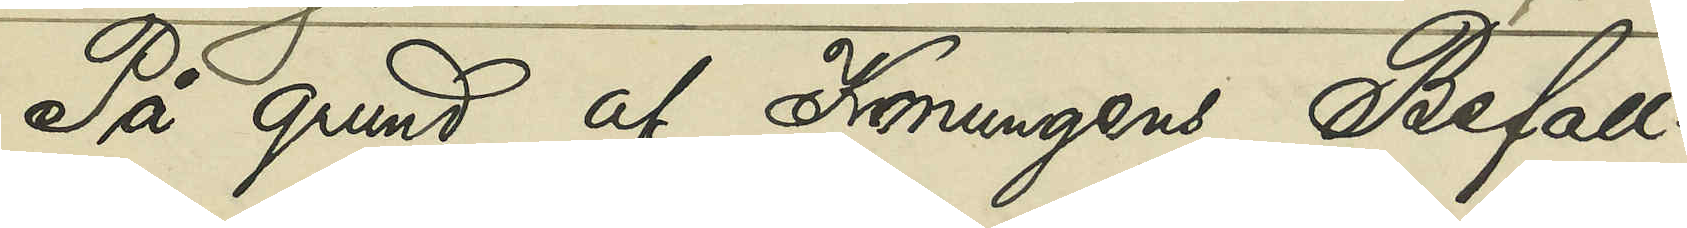På grund af Konungens Befall¬
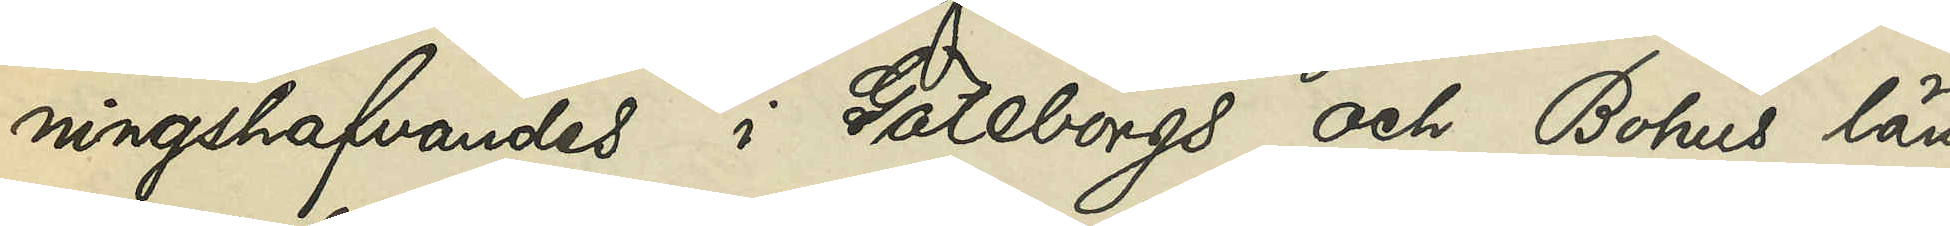ningshafvandes i Göteborgs och Bohus län
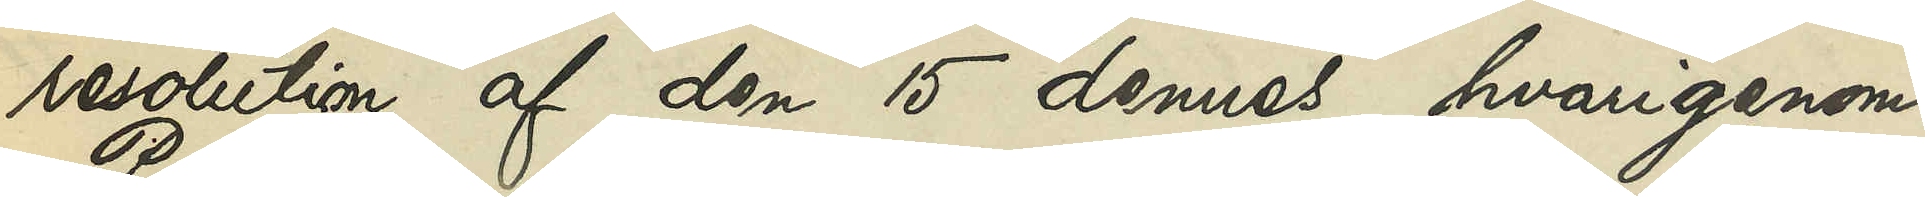resolution af den 15 dennes, hvarigenom
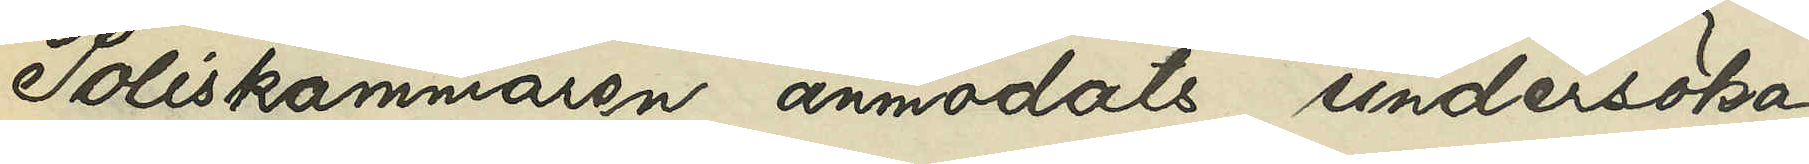Poliskammaren anmodats undersöka,
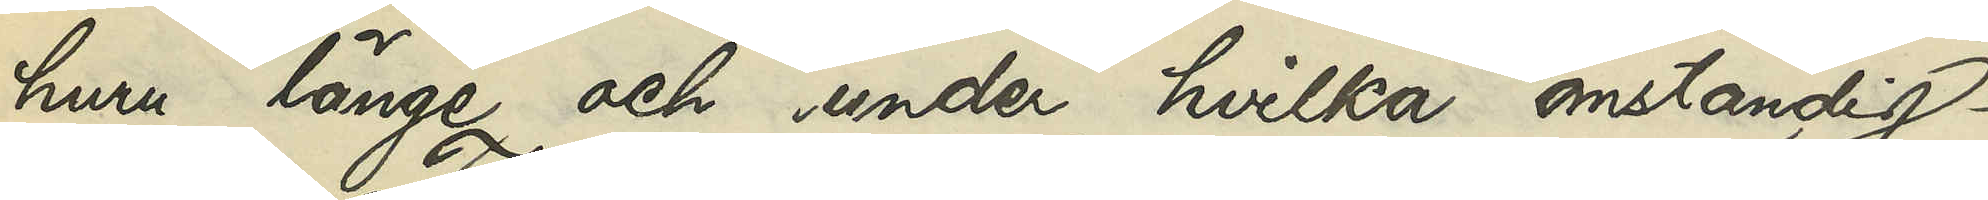huru länge och under hvilka omständig¬
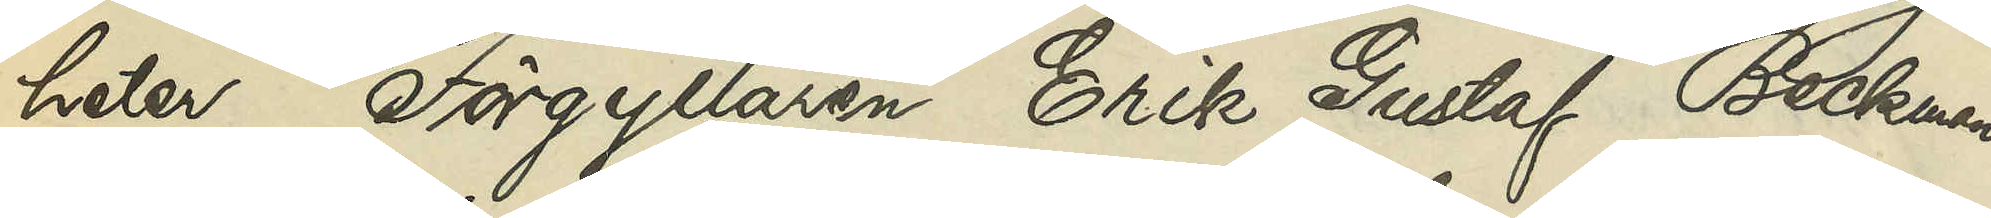heter Förgyllaren Erik Gustaf Beckman
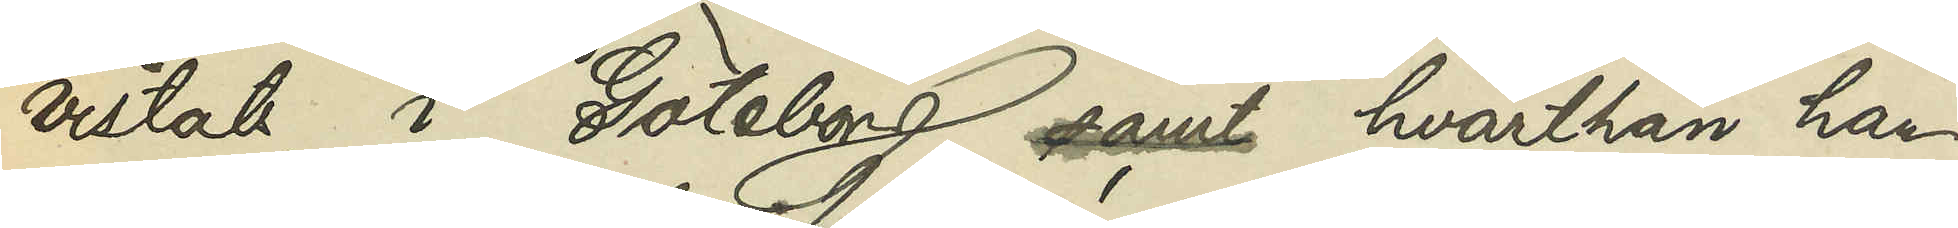vistats i Göteborg, samt hvarthän han
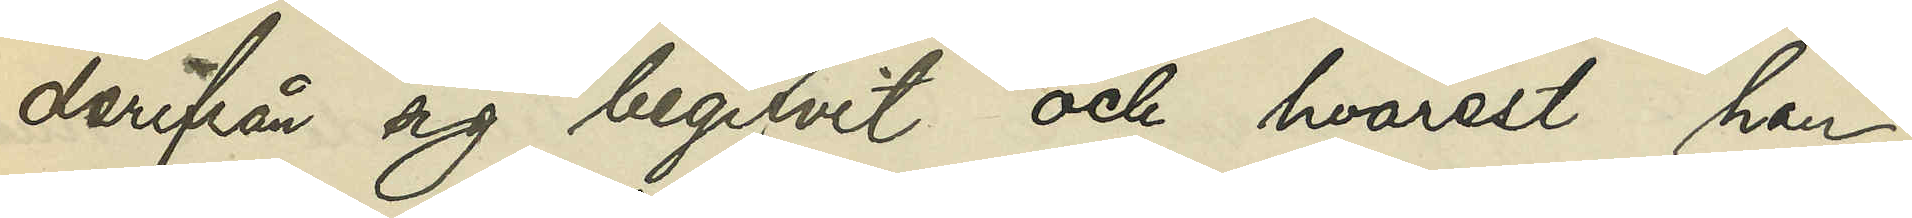derifrån sig begifvit och hvarest han
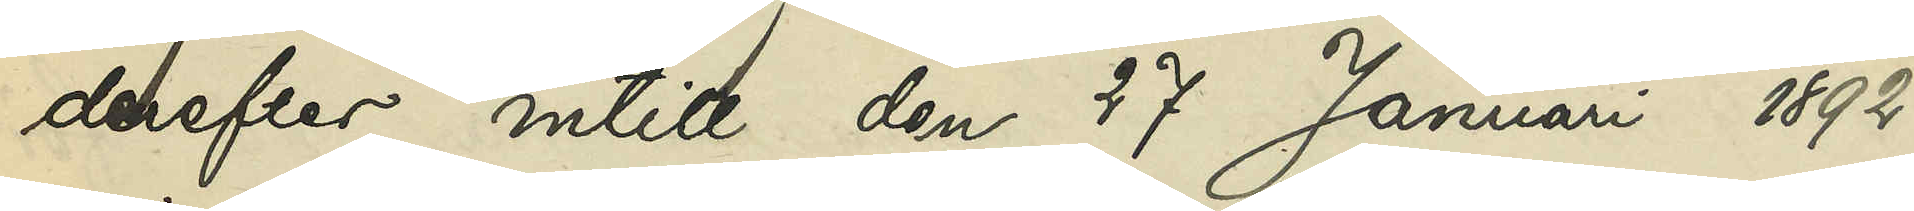derefter intill den 17 Januari 1892
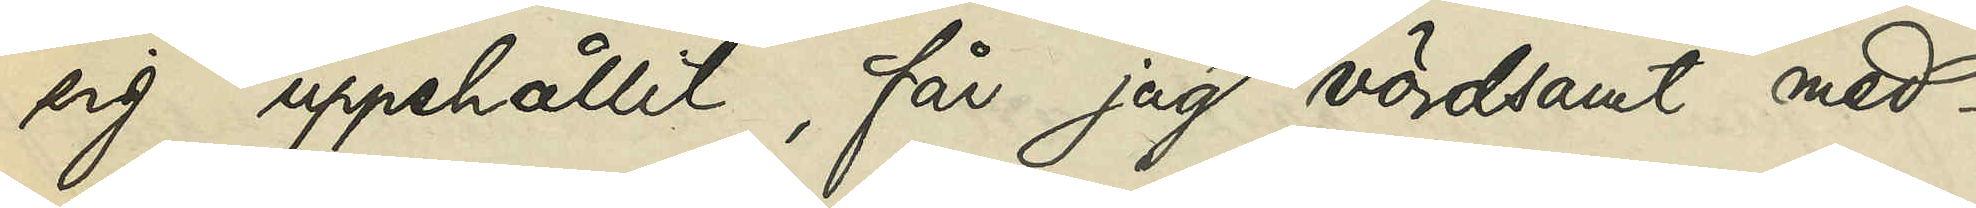sig uppehållit, får jag vördsamt med¬
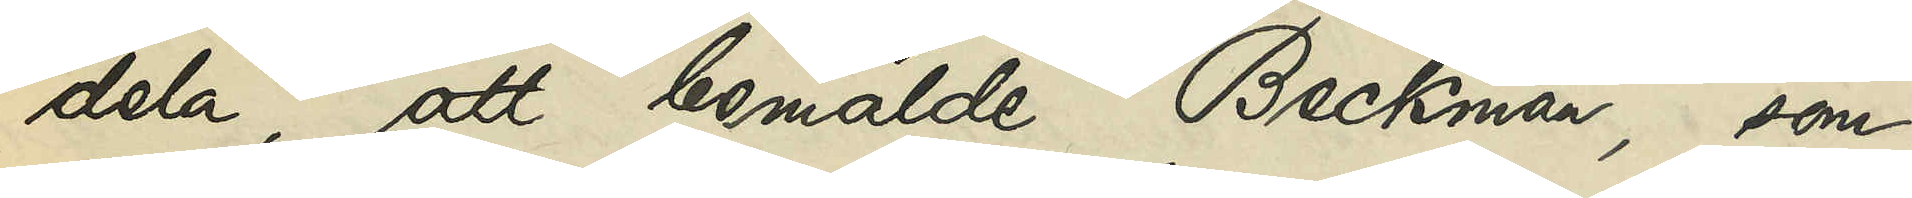dela, att bemälde Beckman, som
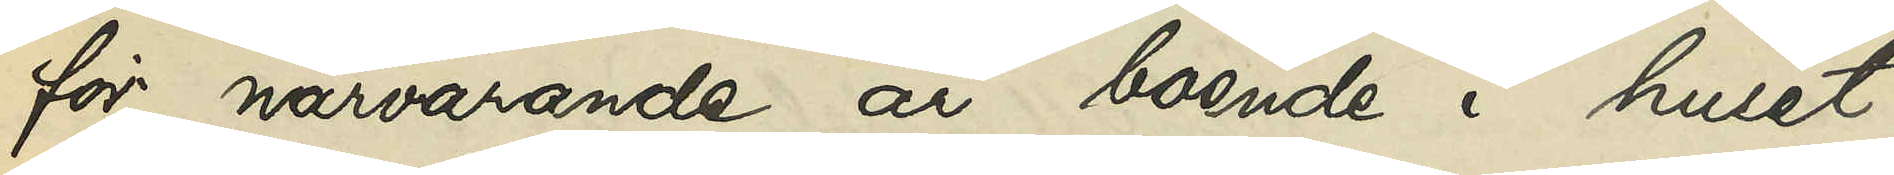för närvarande är boende i huset
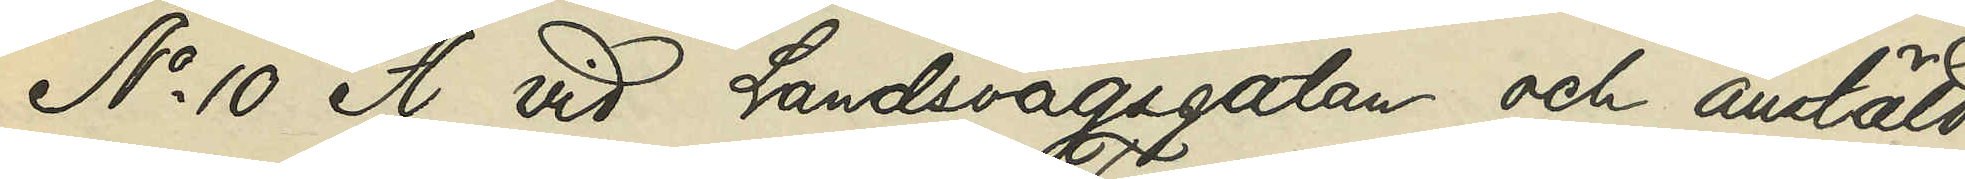No 10 A vid Landsvägsgatan och anstäld
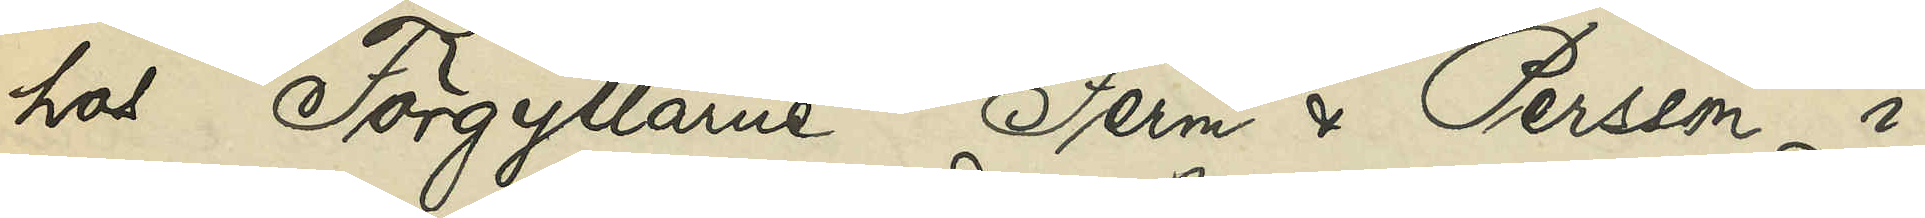hos Förgyllare Ferm & Persson i
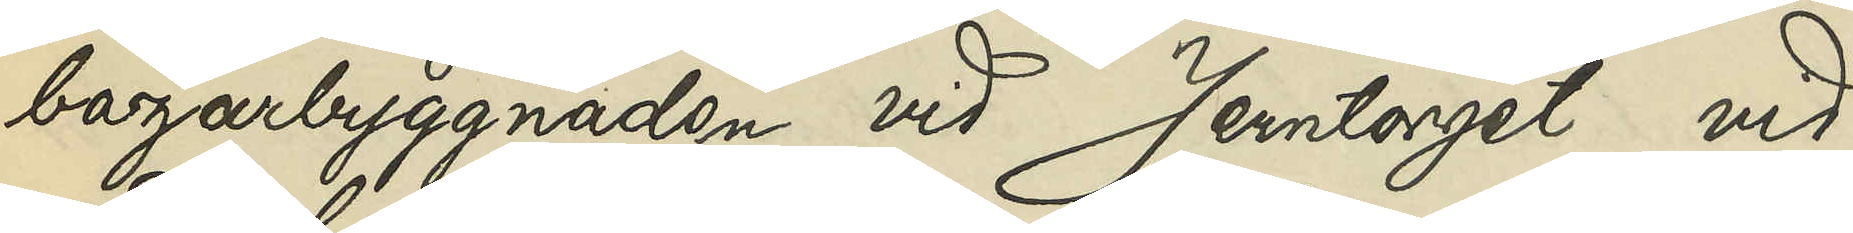bazarbyggnaden vid Jerntorget, vid
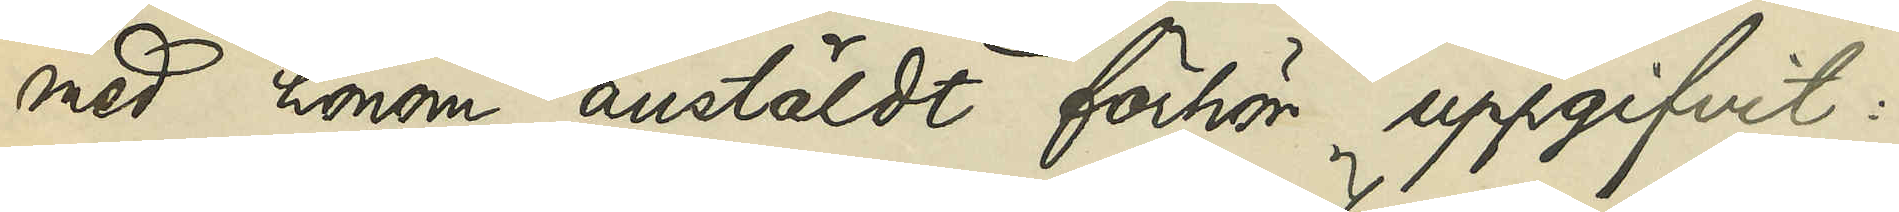med honom anstäldt förhör uppgifvit:
